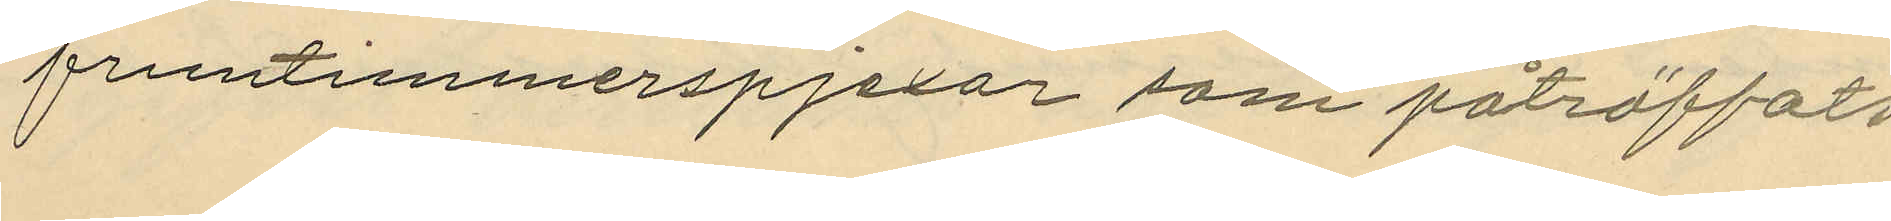fruntimmerspjexor såsom påträffats
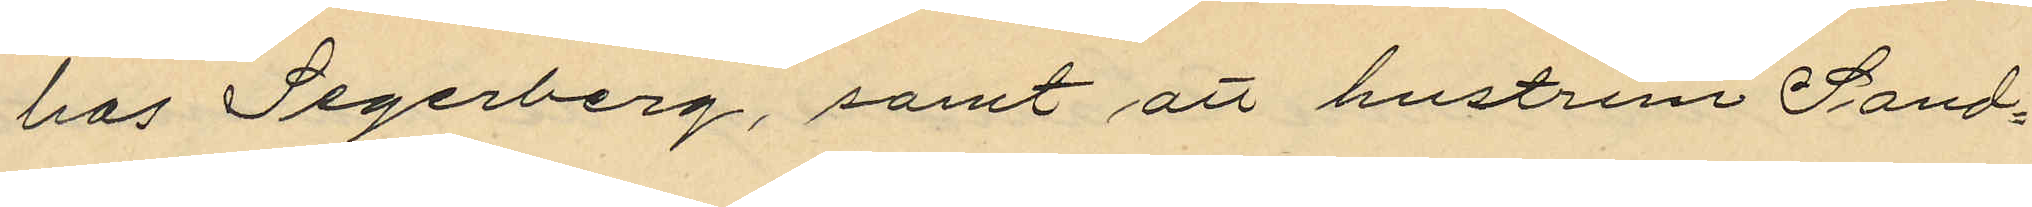hos Segerberg, samt hustrun Sand¬
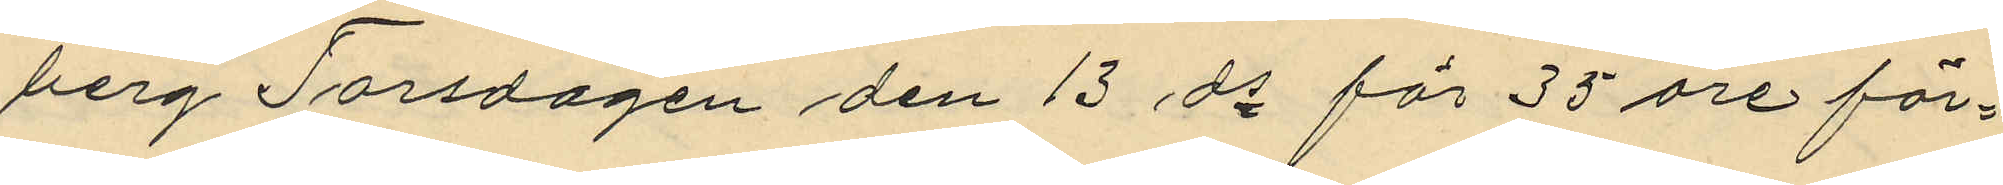berg Torsdagen den 13 ds  för 35 öre för¬
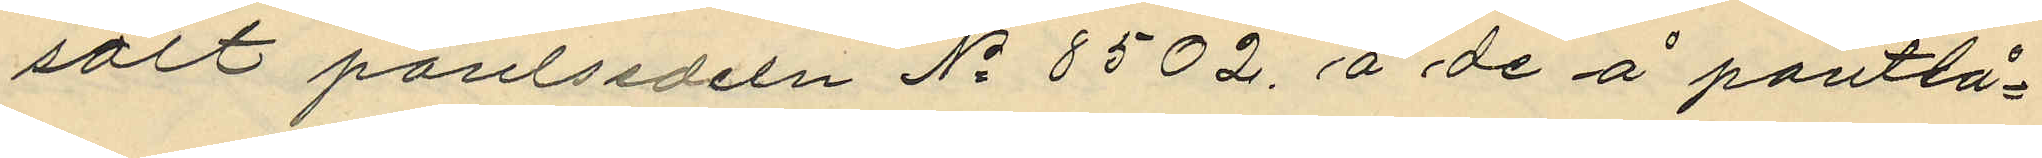sålt pantsedeln No 8502. å de å pantlå¬
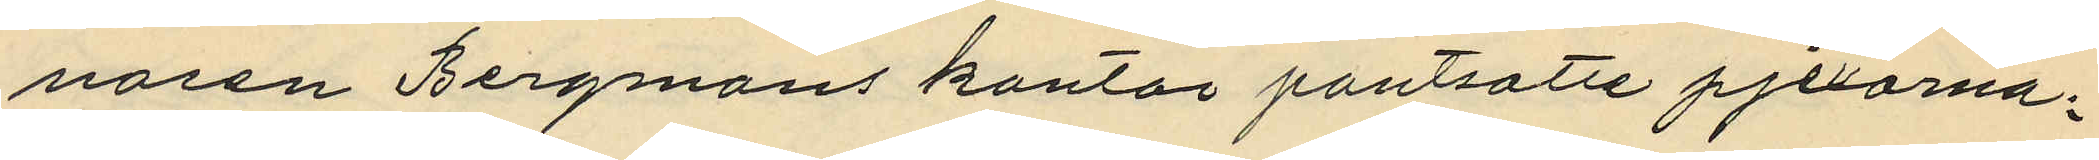naren Bergmans kontor pantsatte pjexorna;
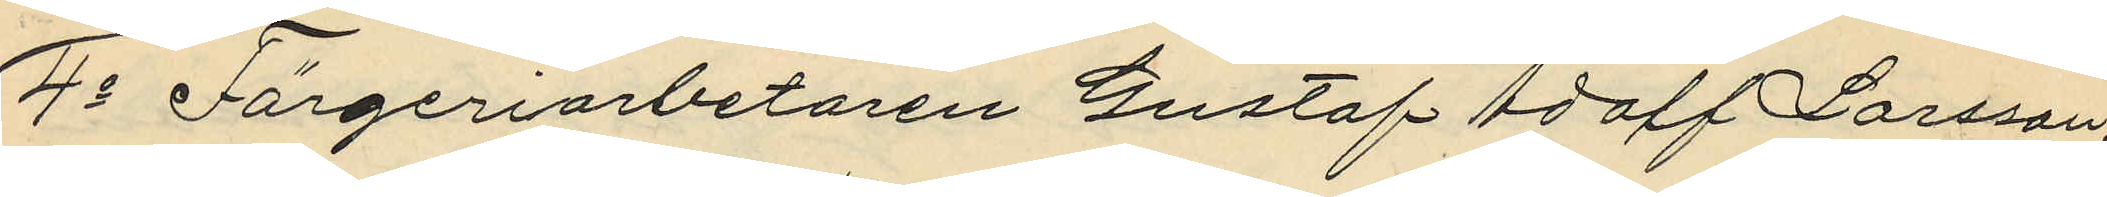4o Färgeriarbetaren Gustaf Adolf Larsson,
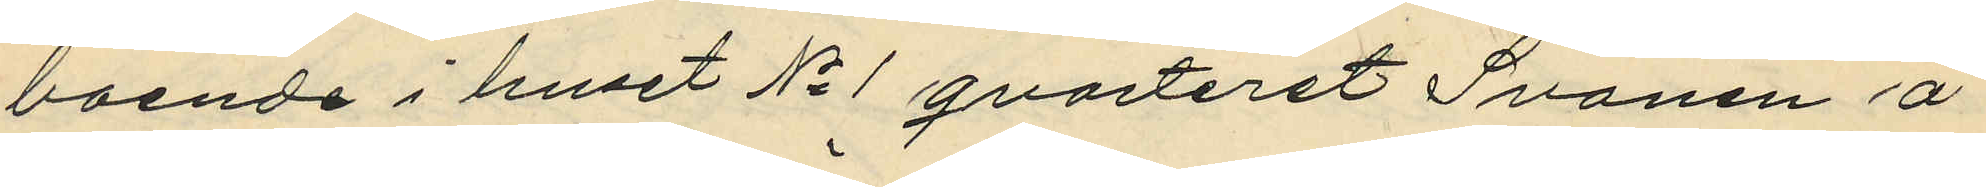boende i huset No 1 qvarteret Svanen å
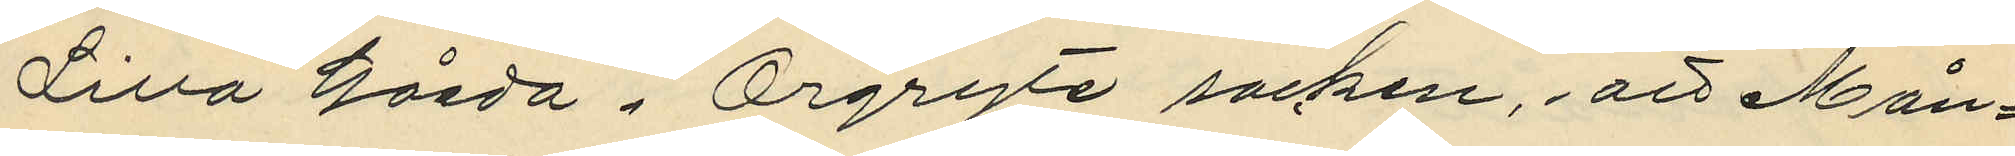Lilla Gårda i Örgryte socken, att Mån¬
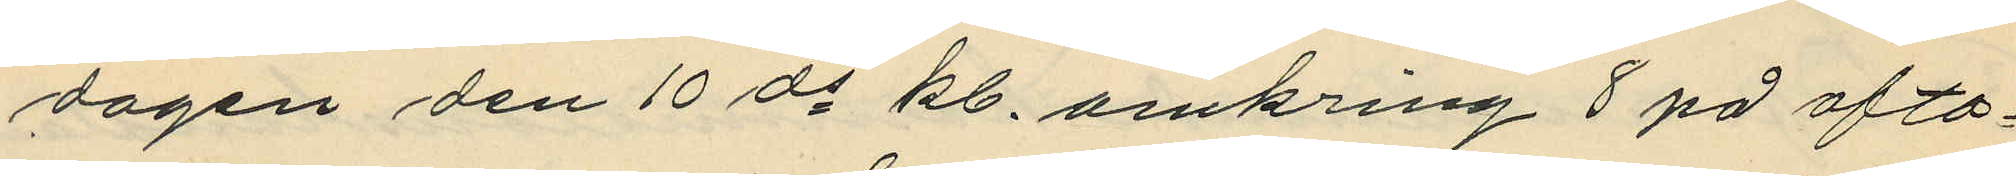dagen den 10 ds kl. omkring 8 på afto¬
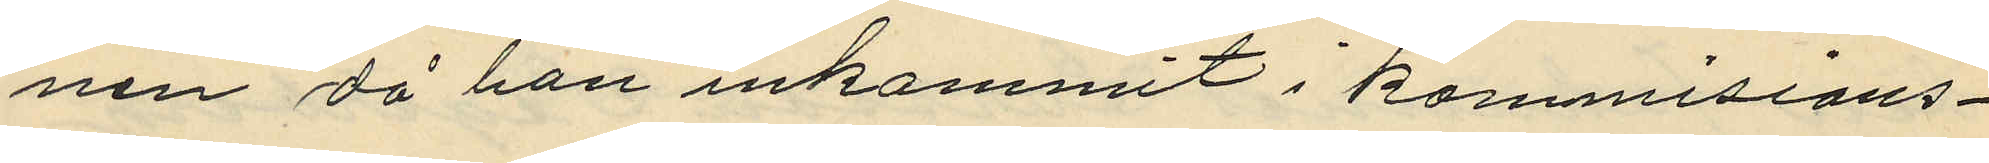nen då han inkommit i kommisions¬
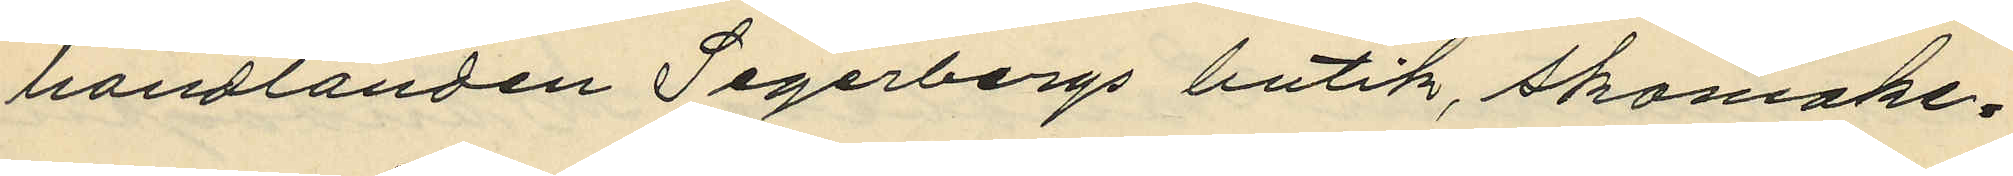handlanden Segerbergs butik, skomake¬
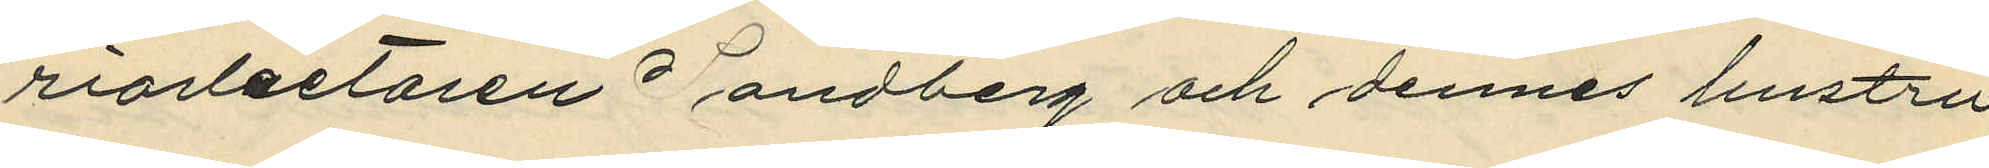riarbetaren Sandberg och dennes hustru
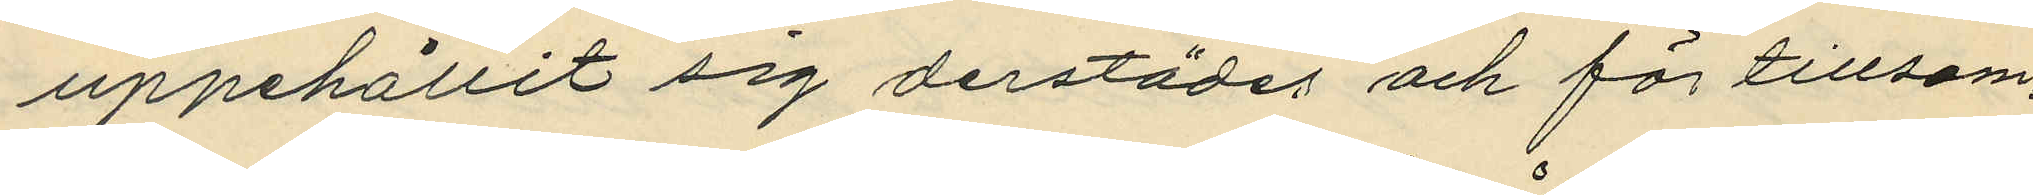uppehållit sig derstädes och för tillsam¬
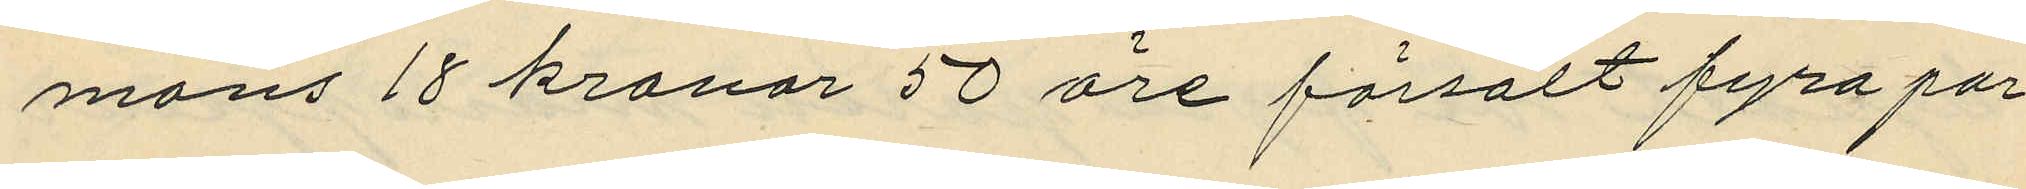mans 18 kronor 50 öre försålt fyra par
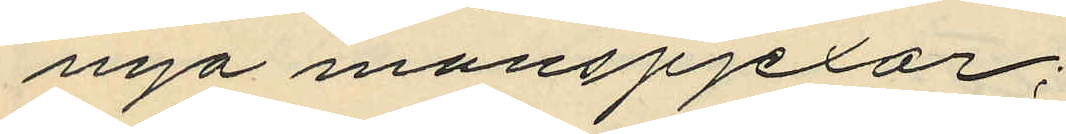nya manspjexor;
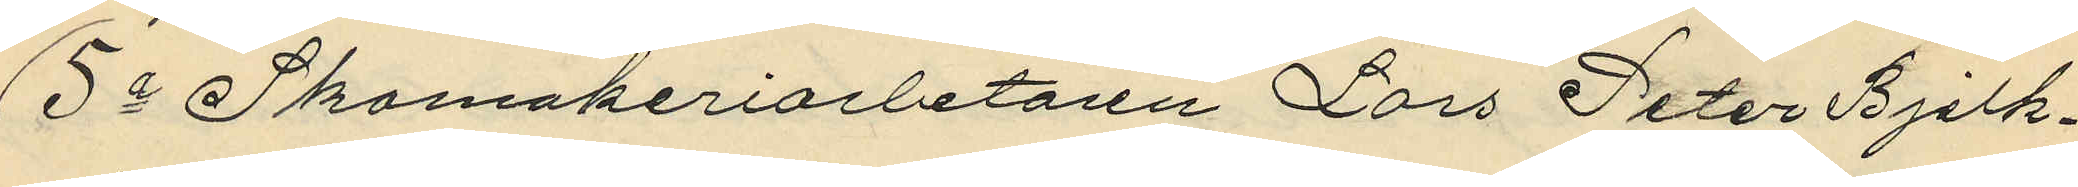5o Skomakeriarbetaren Lars Peter Bjelk¬
